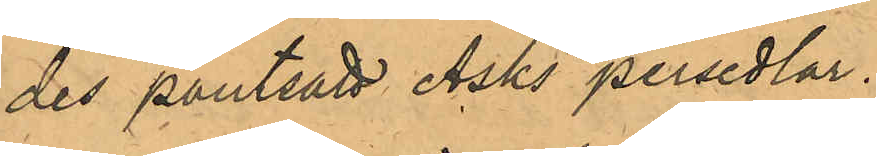des pantsatt Asks persedlar.
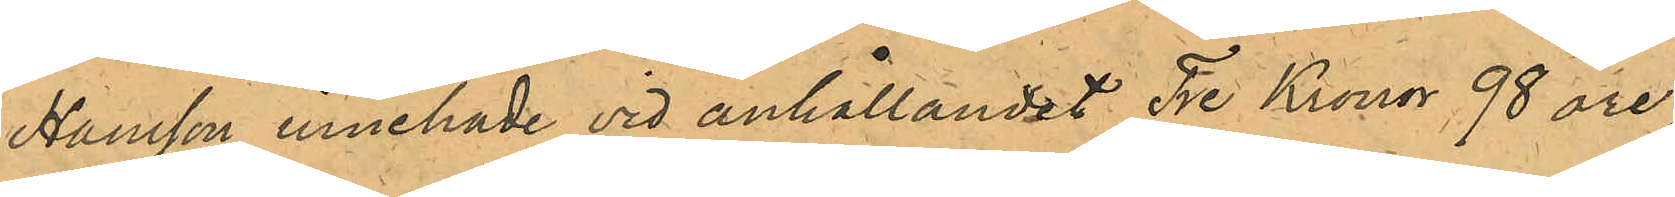Hansson innehade vid anhållandet Tre Kronor 98 öre
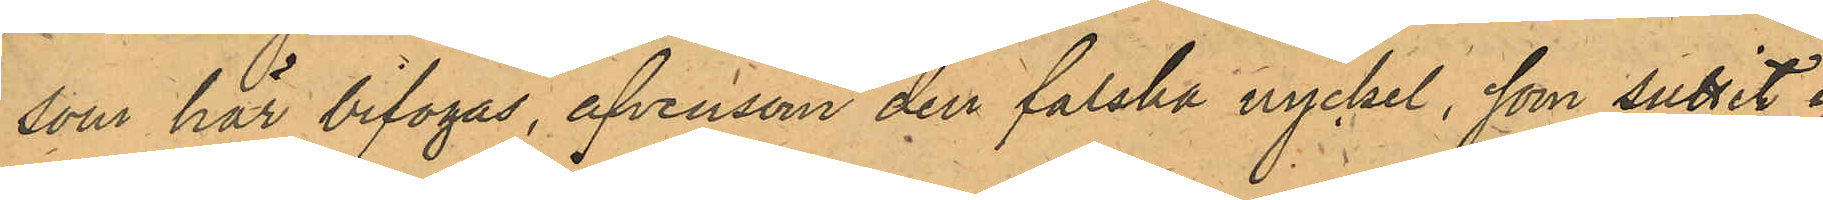som har bifogas, äfvensom den falska nyckel, som suttit i
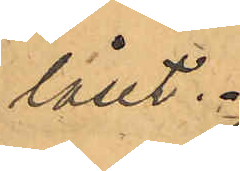låset.
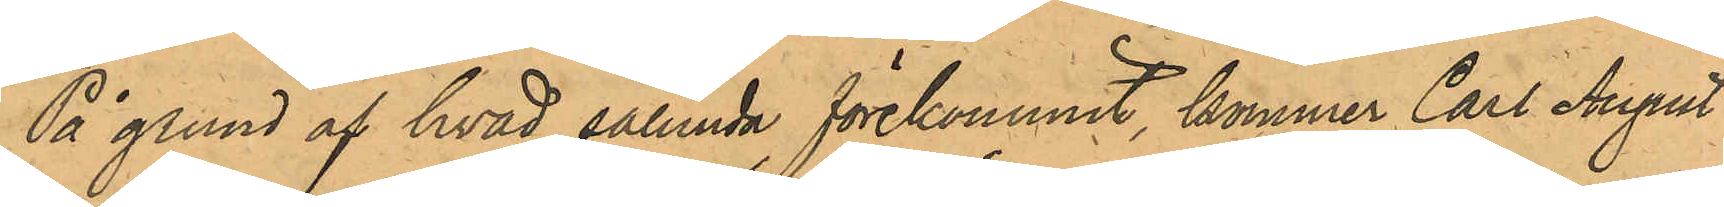På grund af hvad sålunda förekommit, kommer Carl August
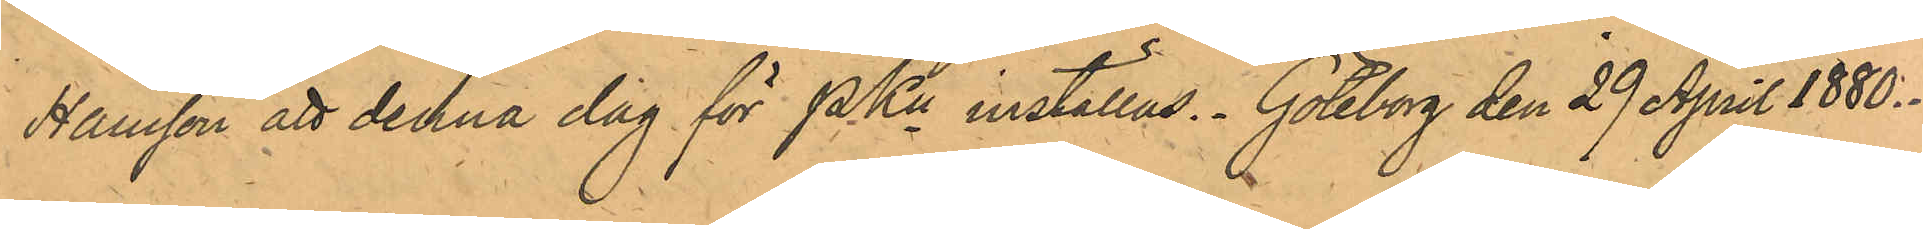Hansson att denna dag för PKn inställas. Göteborg den 29 April 1880.
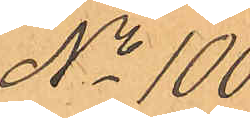No 100.
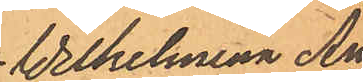Wilhelmina An¬
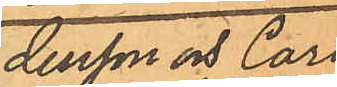dersson och Carl
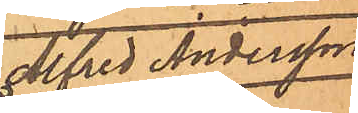Alfred Andersson
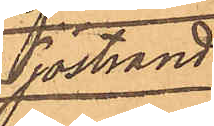Sjöstrand.
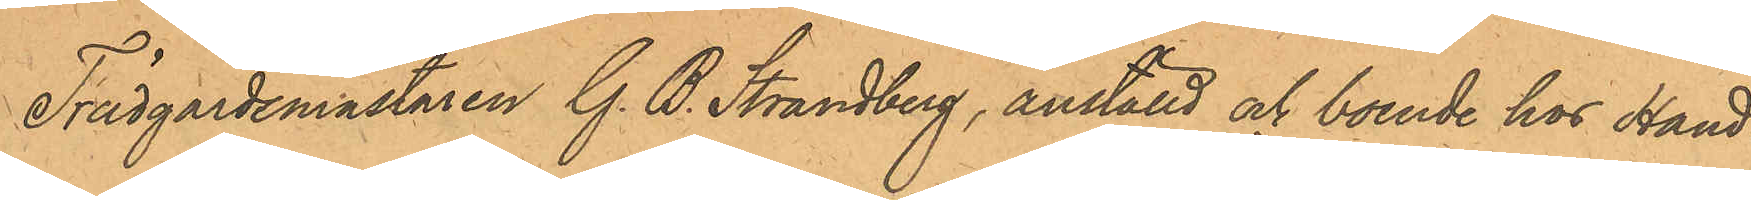Trädgårdsmästaren G. B. Strandberg, anställd och boende hos Hand¬
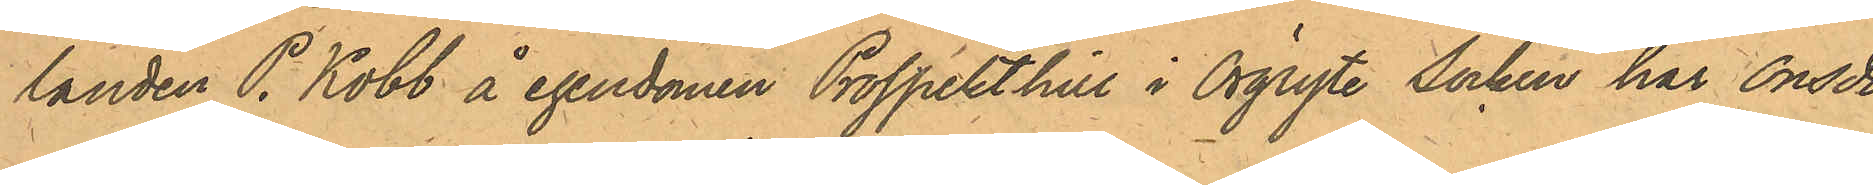landen P. Kobb å egendomen Prospekt hill i Örgryte Socken har Onsda¬
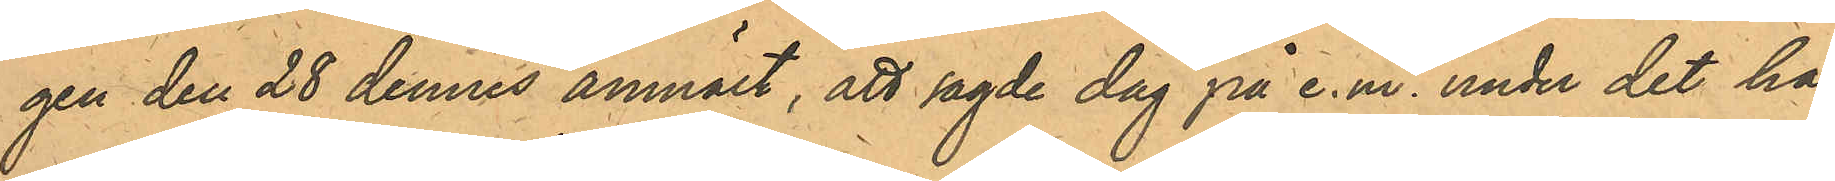gen den 28 dennes anmält, att sagde dag på e.m. under det han
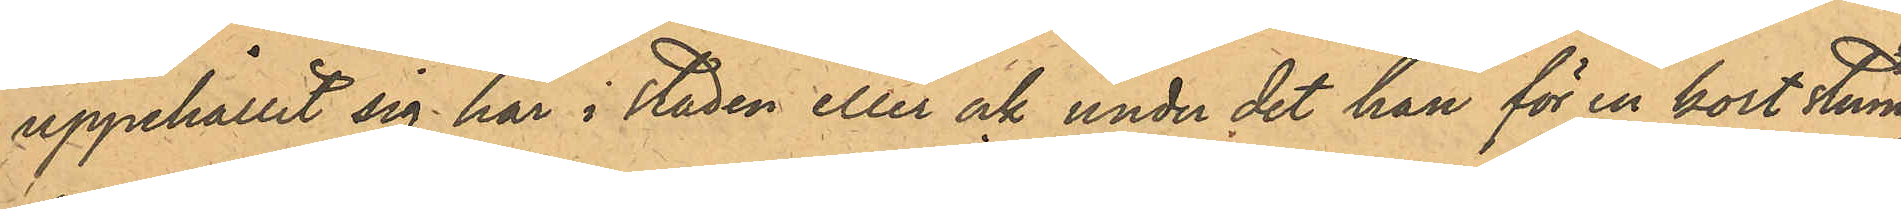uppehållit sig här i staden eller ock under det han för en kort stund
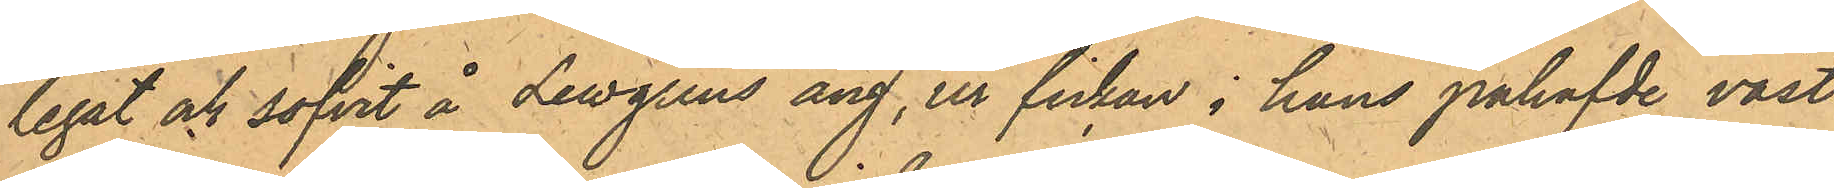legat och sofvit å Lewgrens äng, ur fickan i hans påhafvde väst
